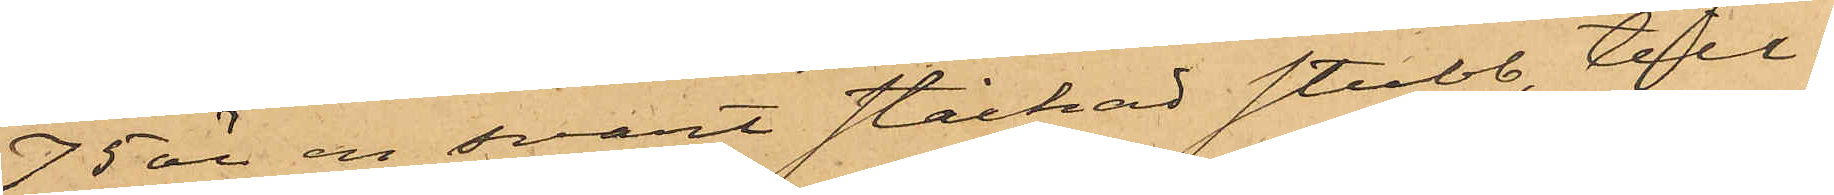75 öre en svart stickad stubb, till¬
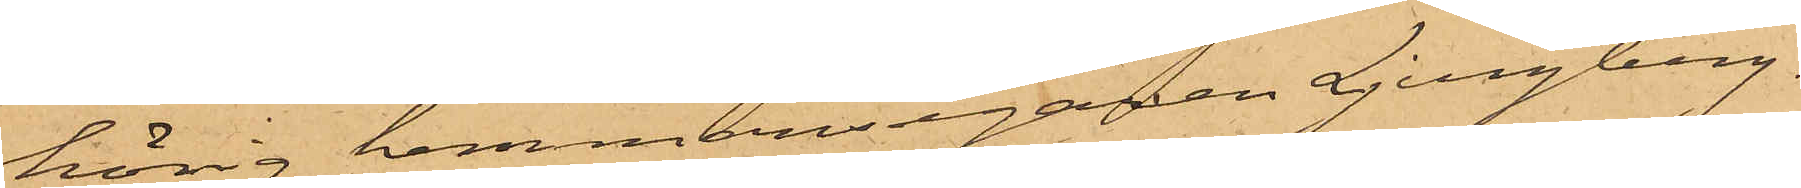hörig hemmansegaren Ljungberg.
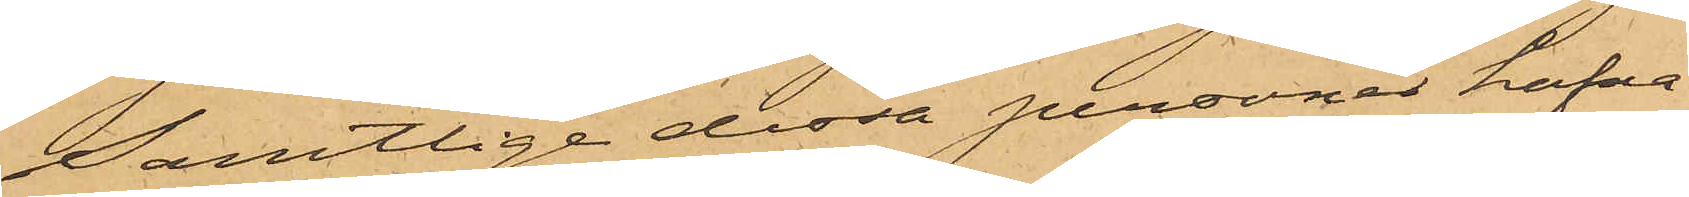Samtlige dessa personer hafva
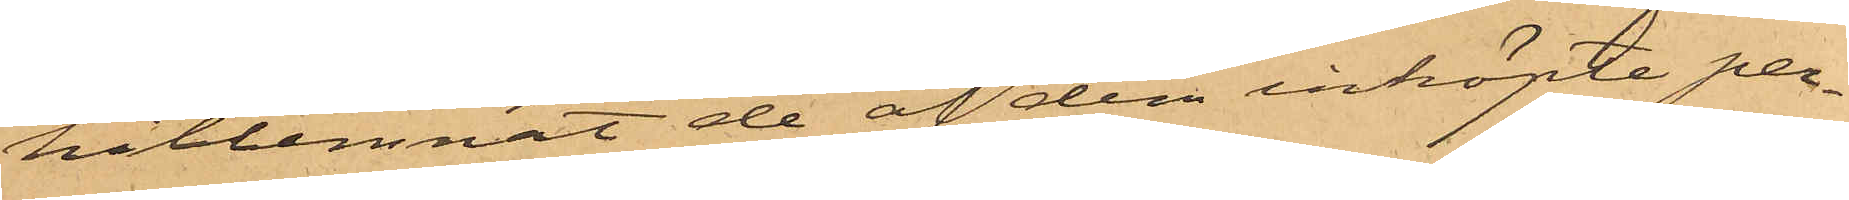hitlemnat de af dem inköpte per¬
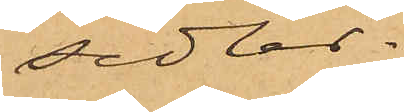sedlar.
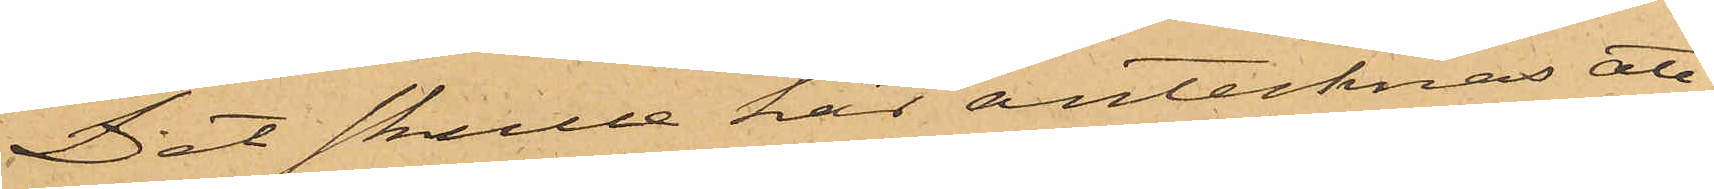Det skulle här antecknas att
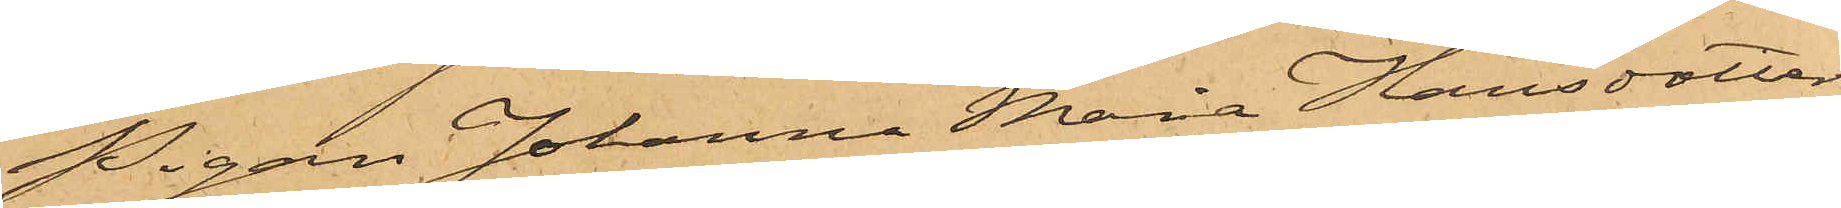Pigan Johanna Maria Hansdotter,
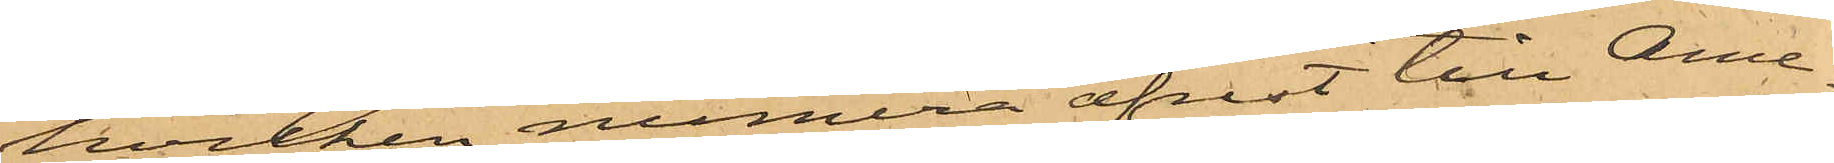hvilken numera afrest till Ame¬
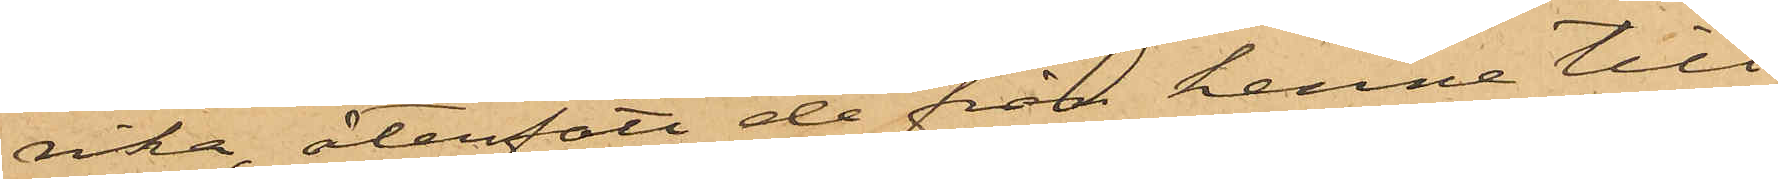rika, återfått de från henne till¬
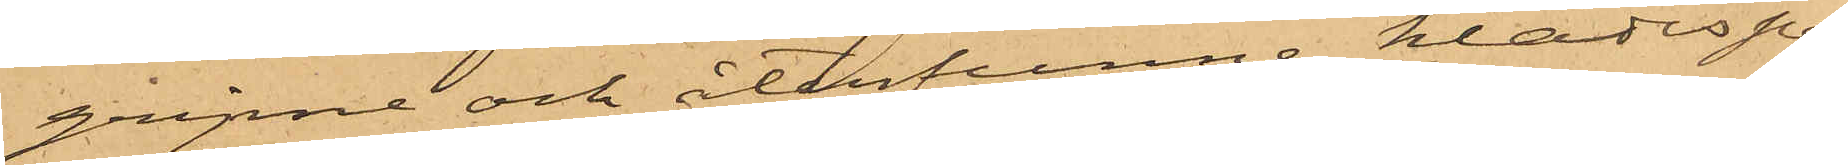gripne och återfunne klädesper¬
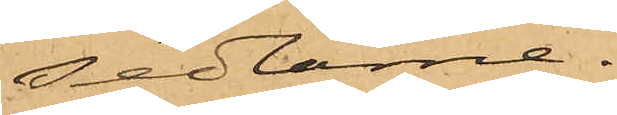sedlarne.
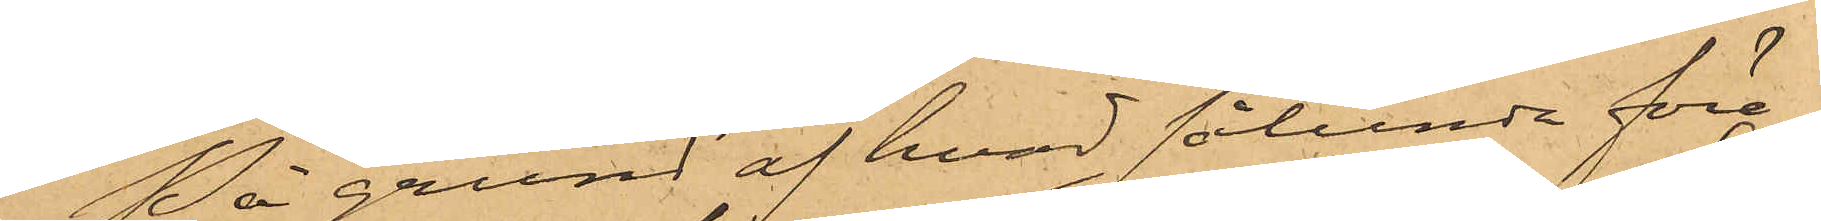På grund af hvad sålunda före¬
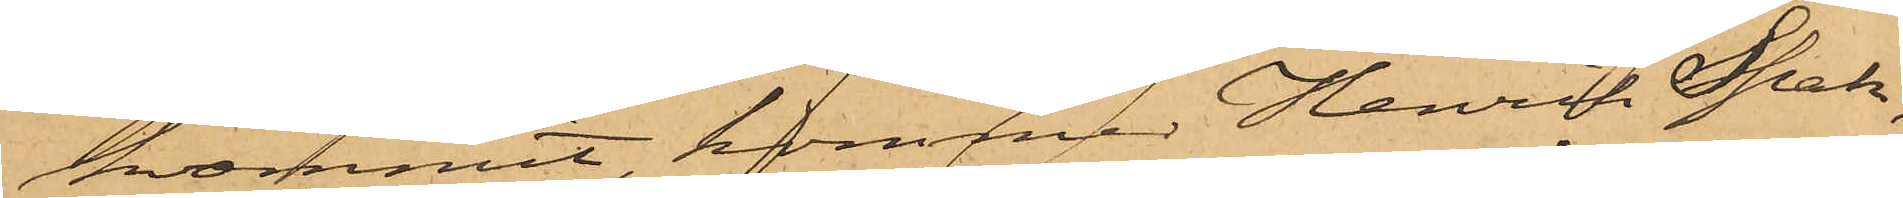kommit kommer Henrik Spak,
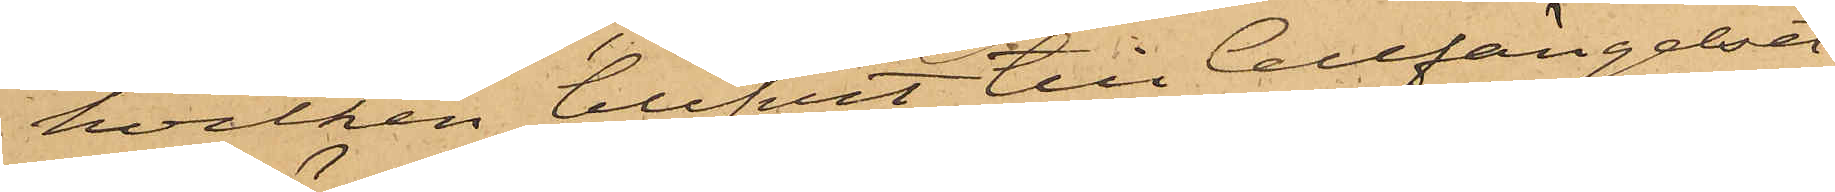hvilken blifvit till Cellfängelset
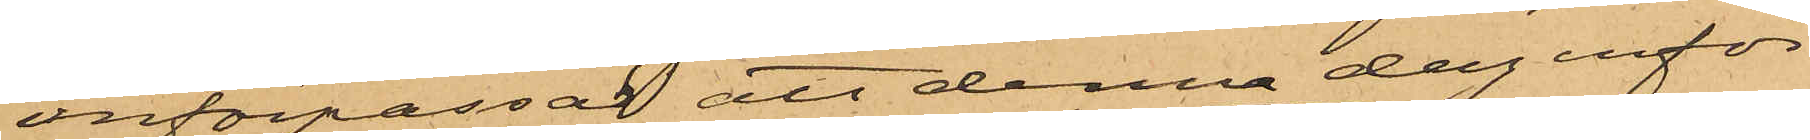införpassad, att denna dag inför
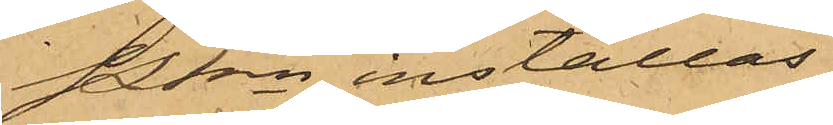Pkn inställas,
